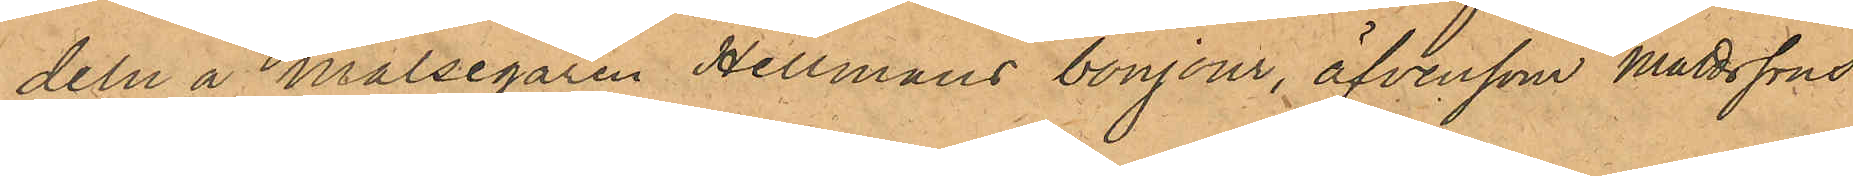deln å målsegaren Hellmans bonjour, äfvensom Mattssons
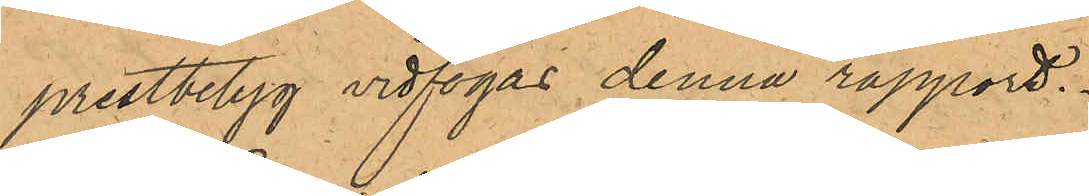prestbetyg vidfogas denna rapport.
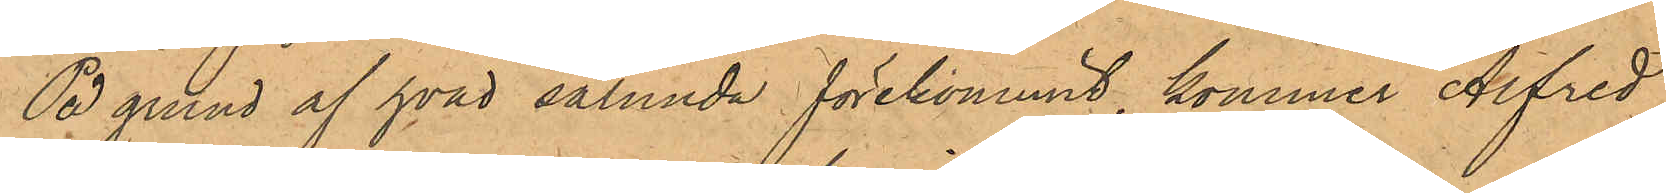På grund af hvad sålunda förekommit, kommer Alfred
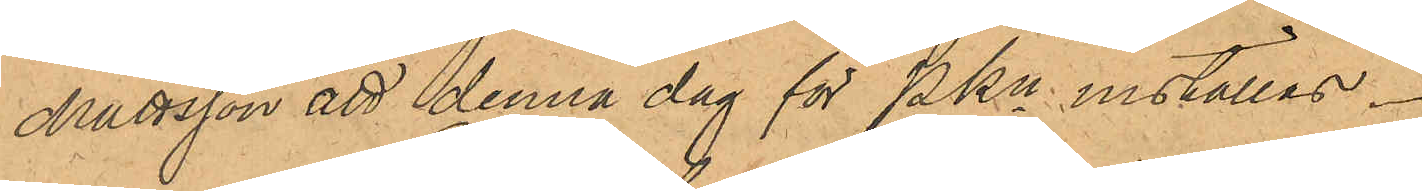Mattsson att denna dag för PKn inställas.
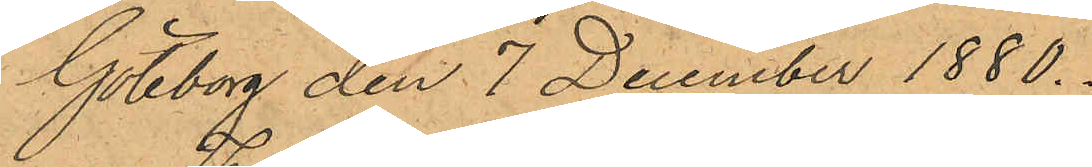Göteborg den 7 December 1880.
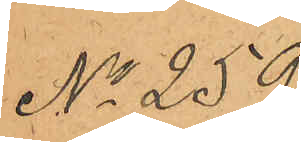No 259.
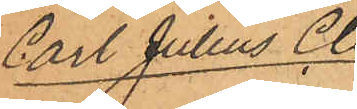Carl Julius Cle¬
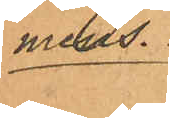mens.
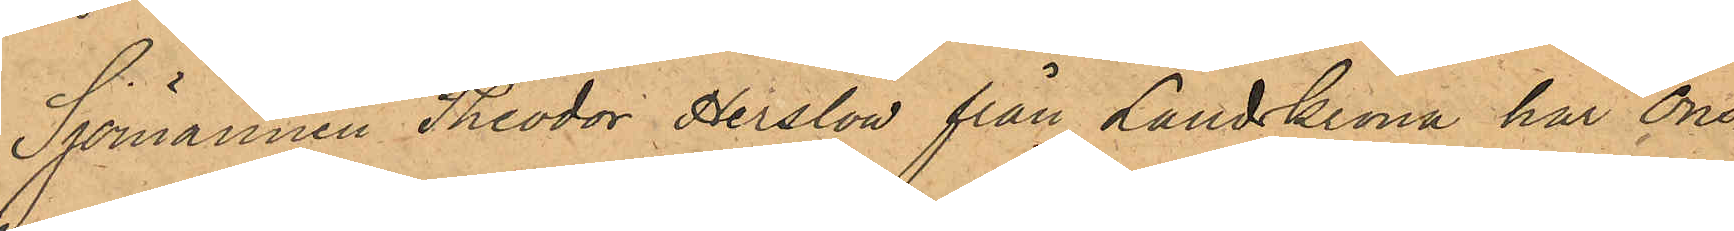Sjömannen Theodor Herslow från Landskrona har Ons¬
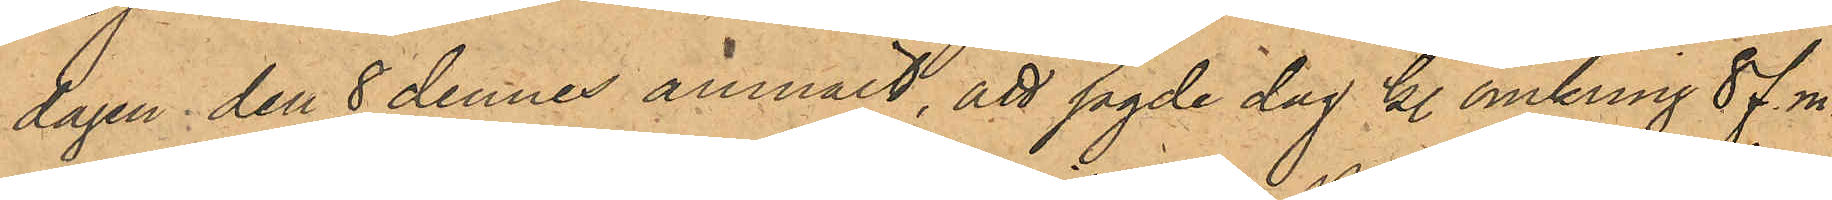dagen den 8 dennes anmält, att sagde dag kl. omkring 8 f. m.
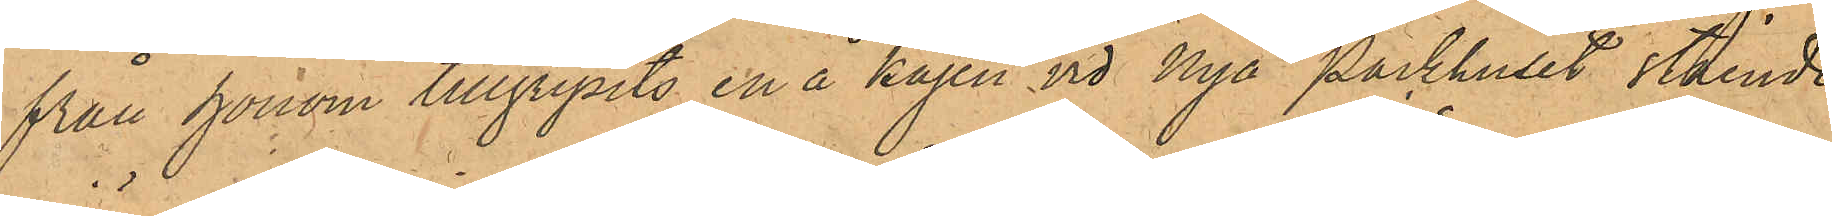från honom tillgripits en å kajen vid Nya Packhuset stående
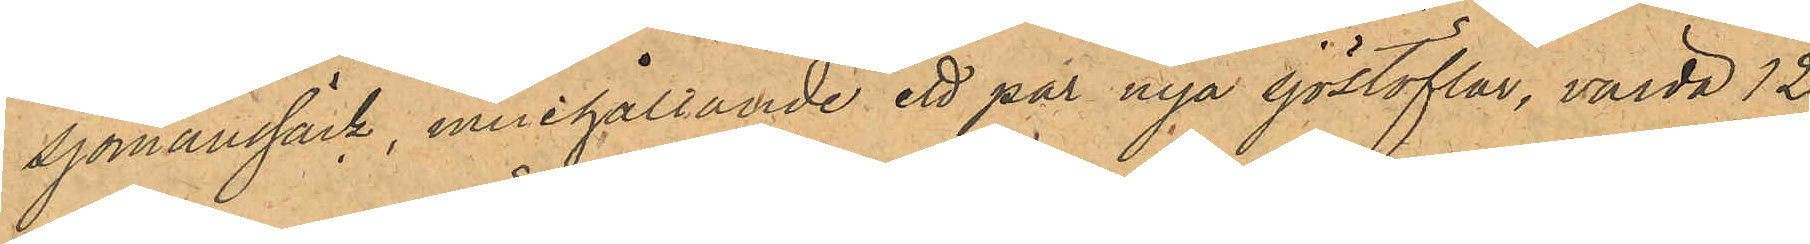sjömanssäck, innehållande ett par nya sjöstöflar, värda 12
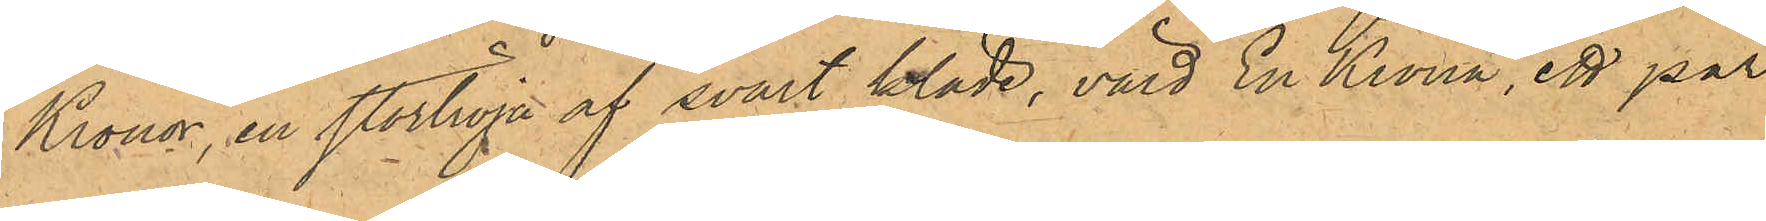Kronor, en stortröja af svart kläde, värd En Krona, ett par
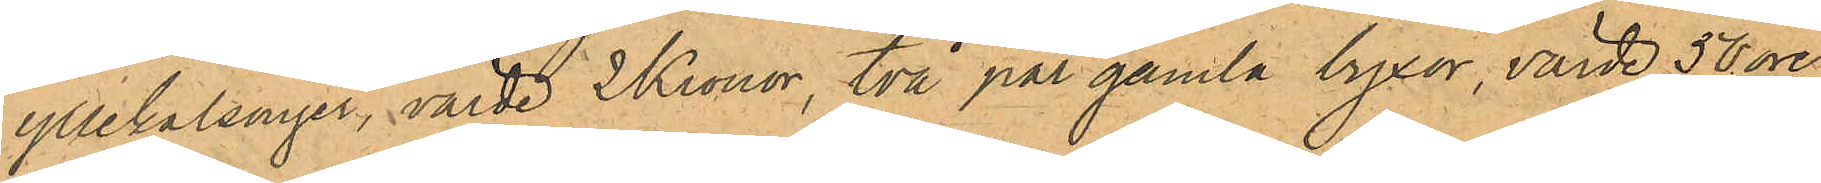yllekalsonger, värde 2 Kronor, två par gamla byxor, värde 50 öre
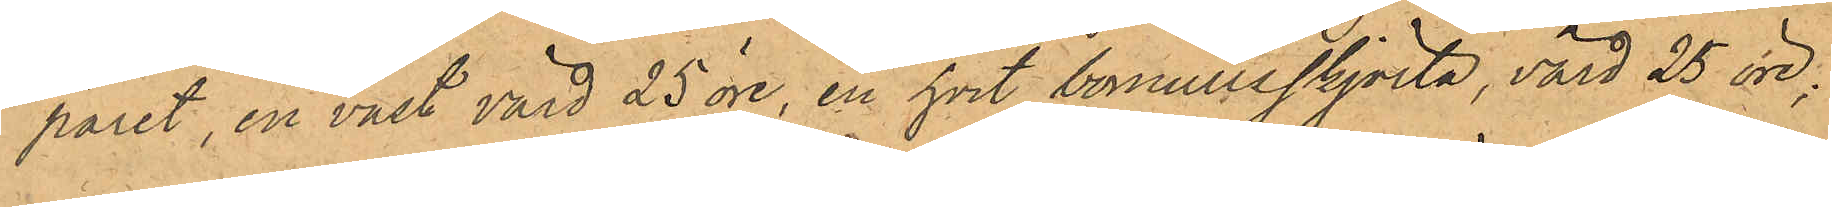paret, en väst, värd 25 öre, en hvit bomullskjorta, värd 25 öre;
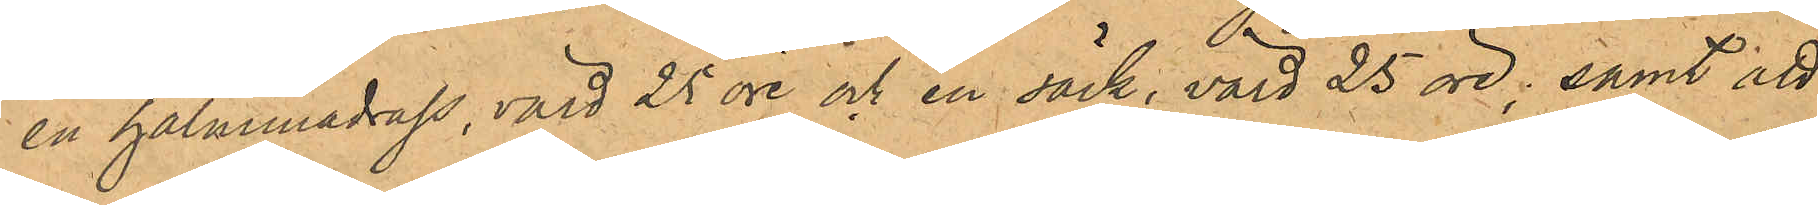en halmmadrass, värd 25 öre och en säck, värd 25 öre; samt att
